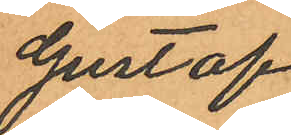Gustaf
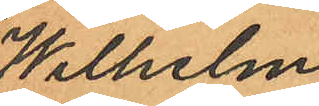Wilhelm
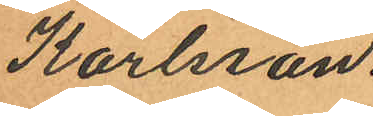Karlsson.
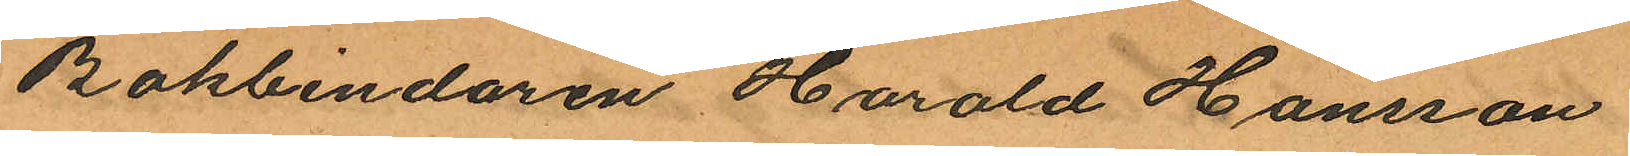Bokbindaren Harald Hansson
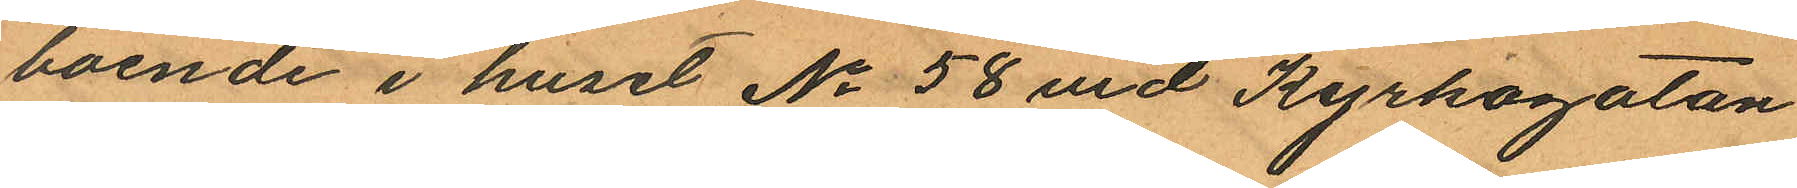boende i huset No 58 vid Kyrkogatan
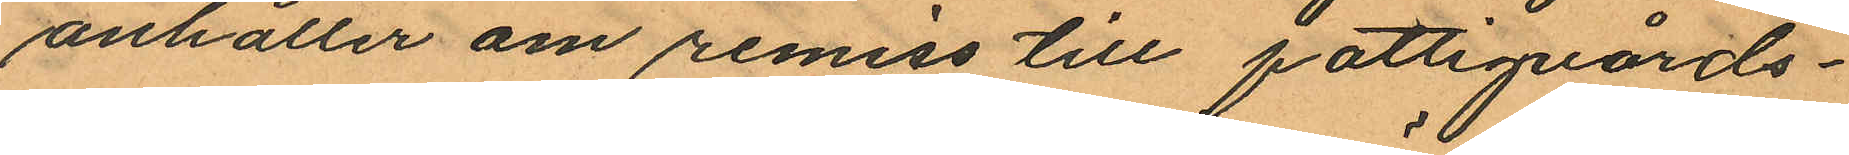anhåller om remiss till fattigvårds¬
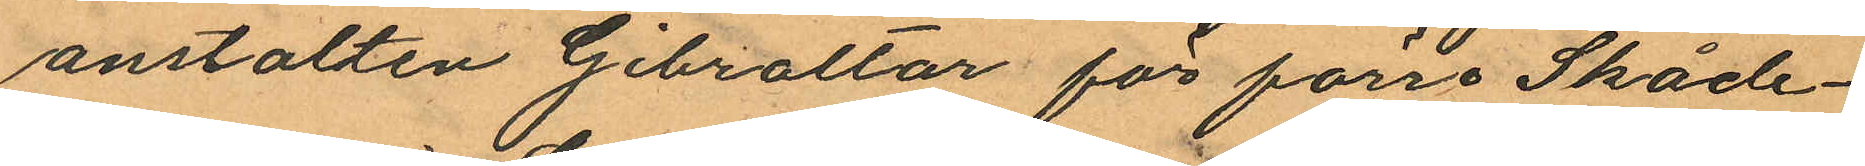anstalten Gibraltar för förre Skåde¬
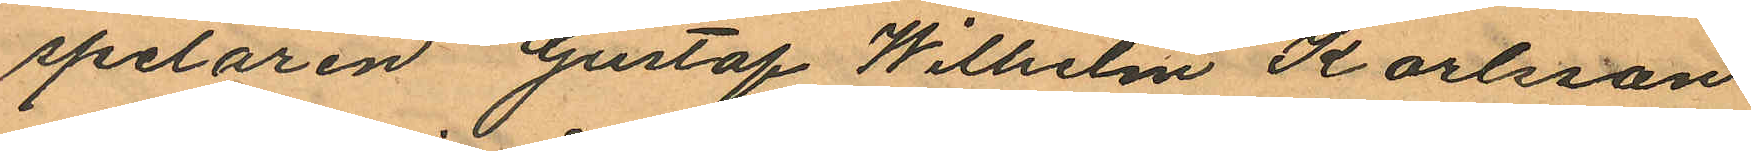spelaren Gustaf Wilhelm Karlsson
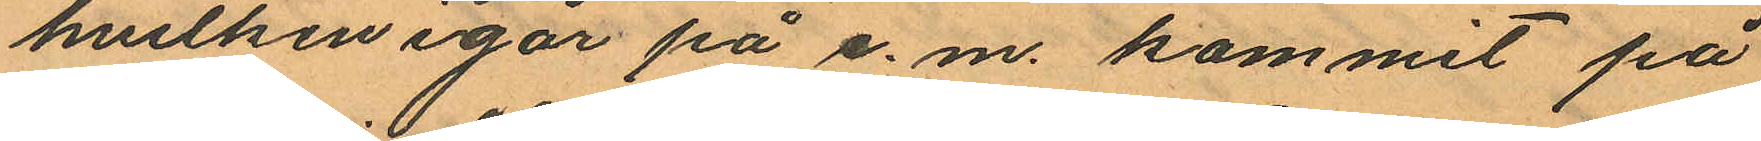hvilken igår på e. m. kommit på
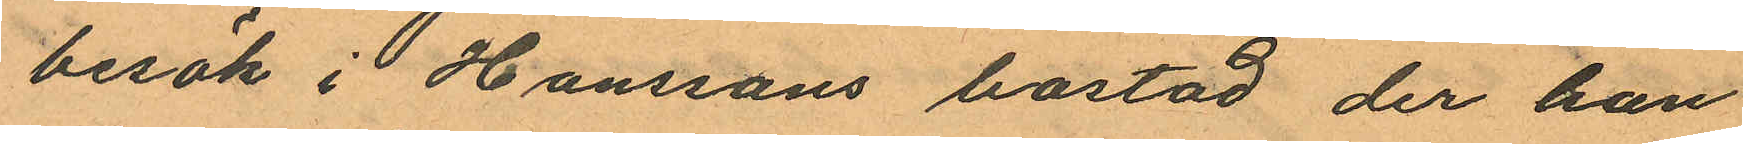besök i Hanssons bostad der han
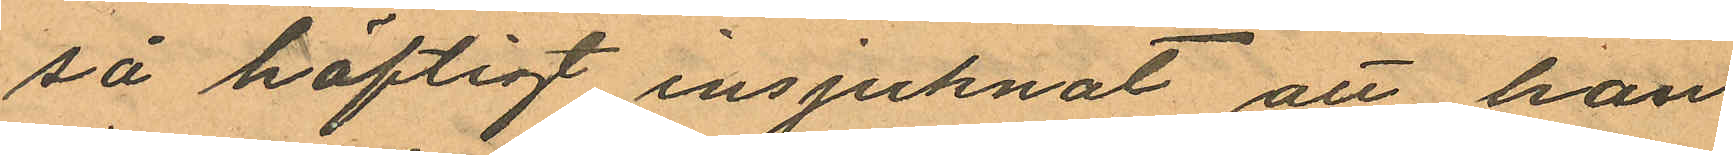så häftigt insjuknat att han
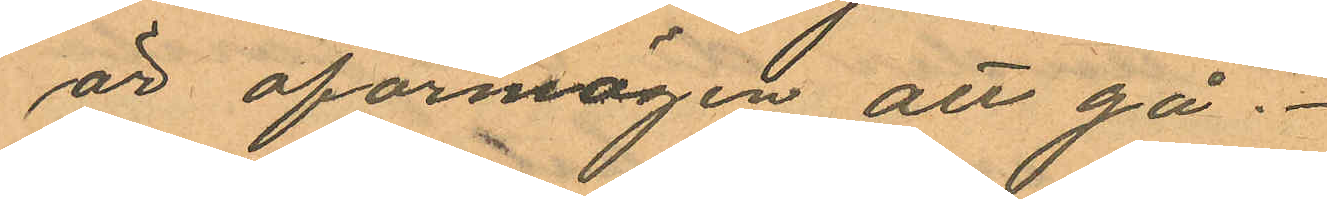är oförmögen att gå.
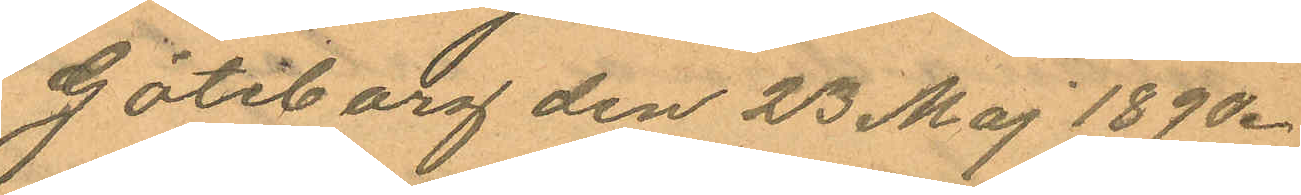Göteborg den 23 Maj 1890.
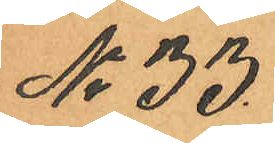No 33.
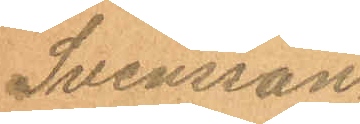Svensson.
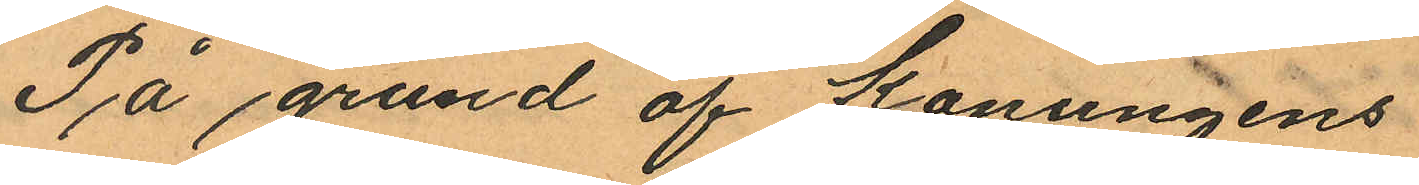På grund af Konungens
